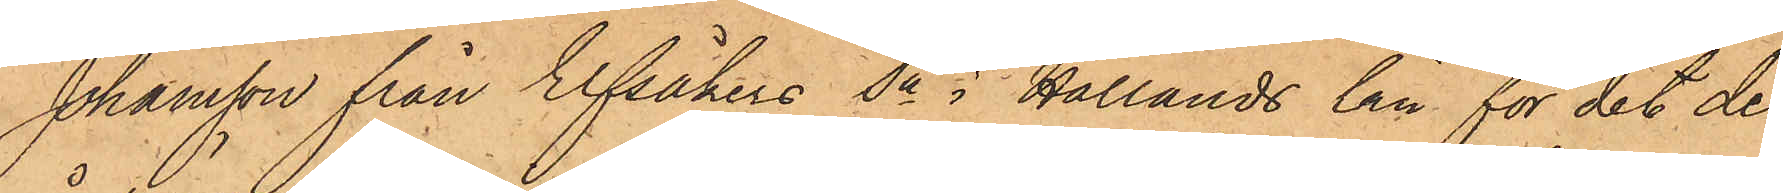Johansson från Elfsåkers Sn i Hallands län för det de
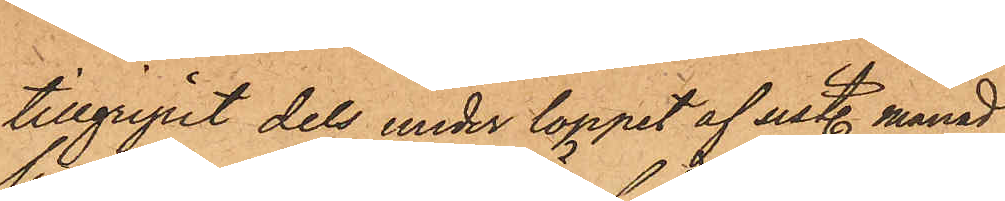tillgripit dels under loppet af sistl. månad
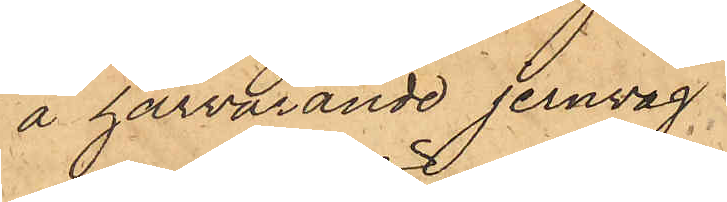å härvarande jernvåg
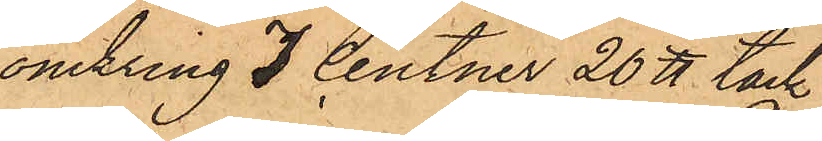omkring 7 Centner 20 ℔ tack¬
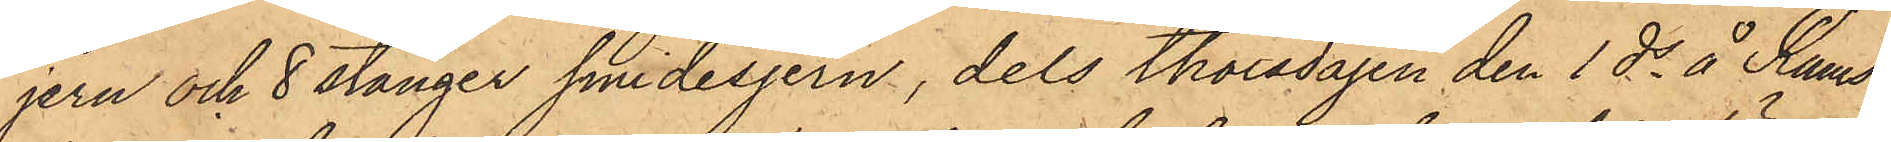jern och 8 stänger smidesjern, dels Thorsdagen den 1 ds å Rams¬
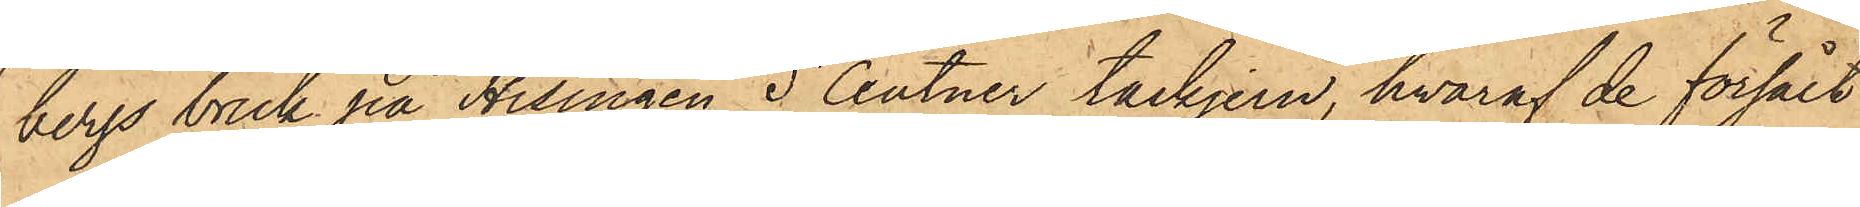bergs bruk på Hisingen 5 Centner tackjern, hvaraf de försålt
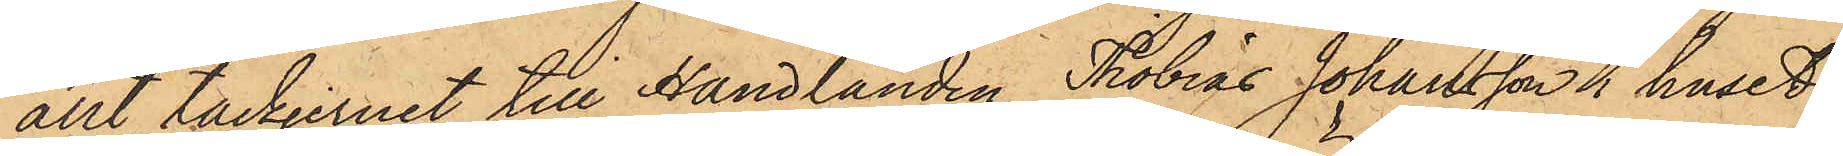allt tackjernet till Handlanden Thobias Johansson i huset
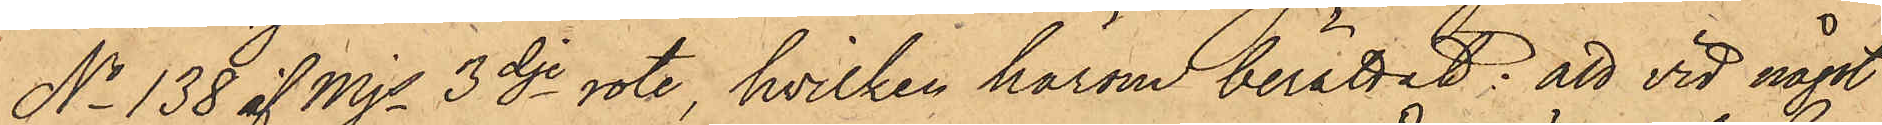No 138 af Mjs 3dje rote, hvilken härom berättat; att vid något
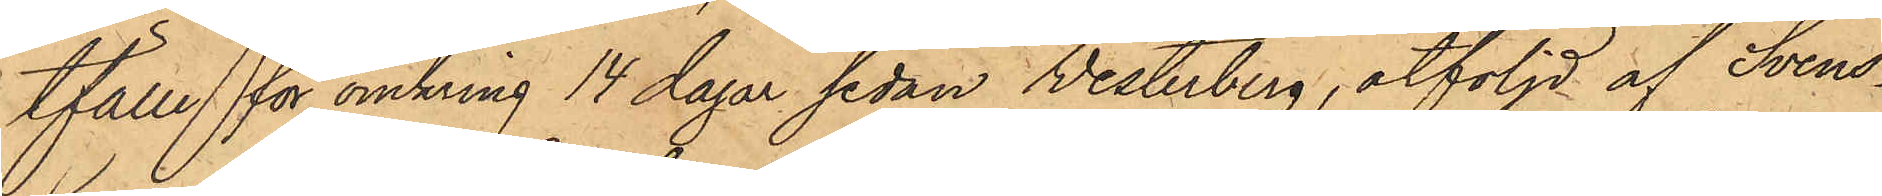tfälle för omkring 14 dagar sedan Vesterberg, åtföljd af Svens¬
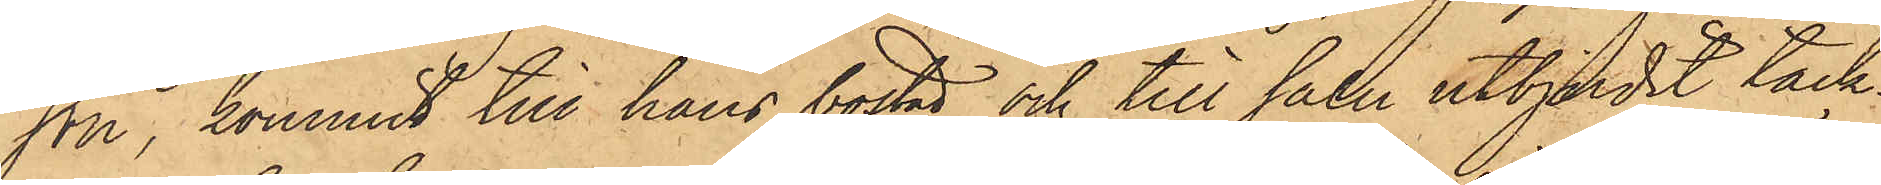son, kommit till hans bostad och till salu utbjudit tack¬
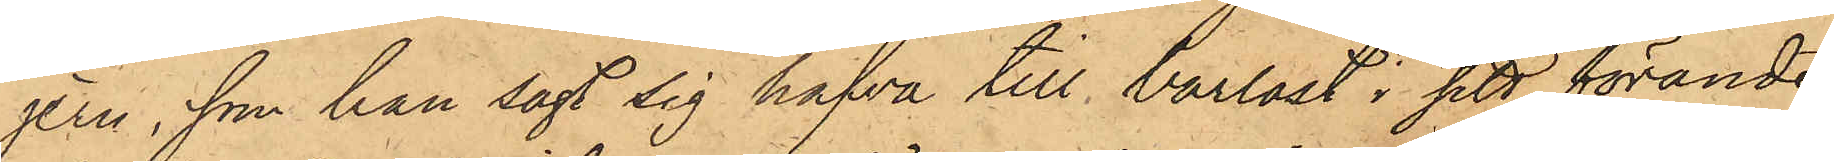jern, som han sagt sig hafva till barlast i sitt förande
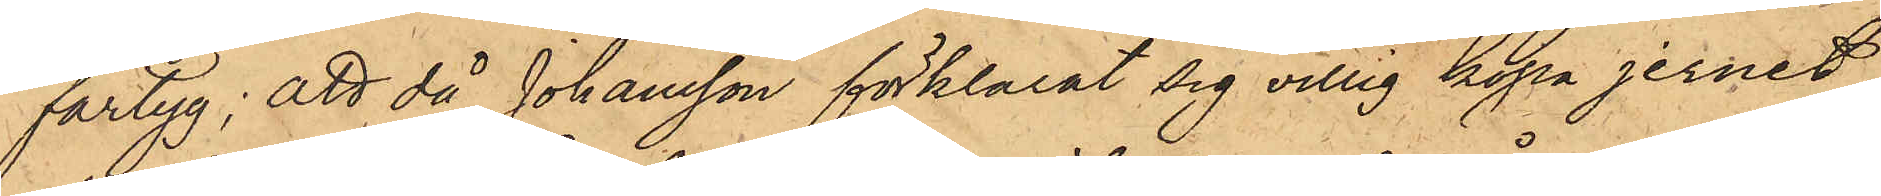fartyg; att då Johansson förklarat sig villig köpa jernet,
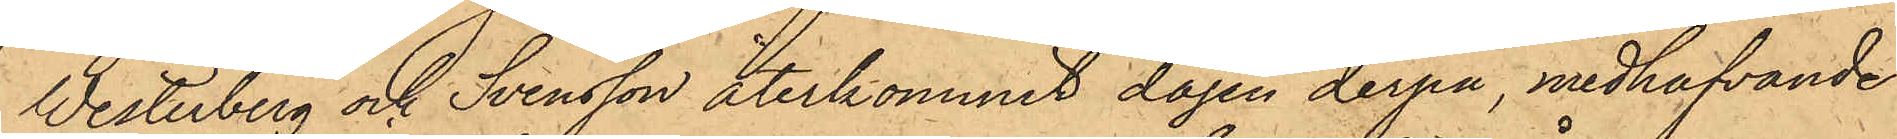Westerberg och Svensson återkommit dagen derpå, medhafvande
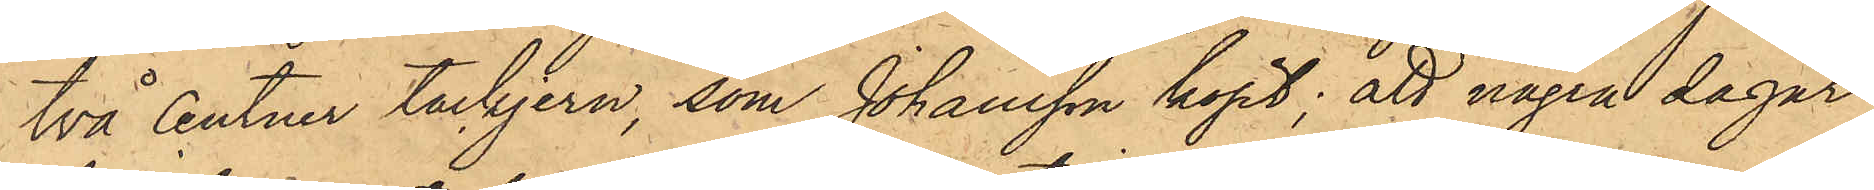två Centner tackjern, som Johansson köpt; att några dagar
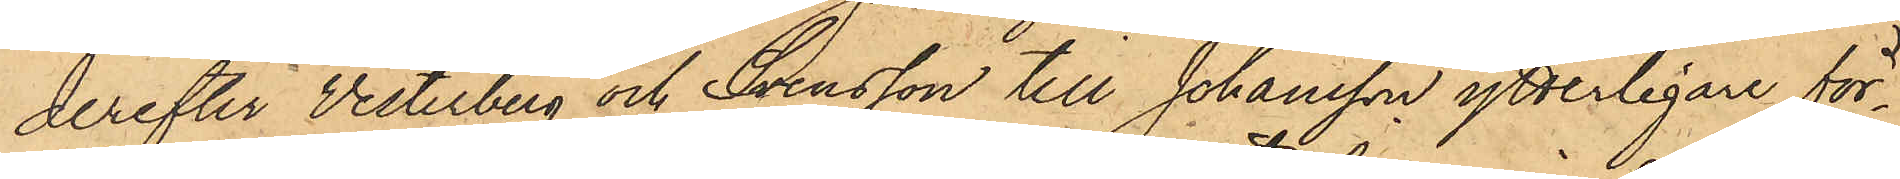derefter Vesterberg och Svensson till Johansson ytterligare för¬
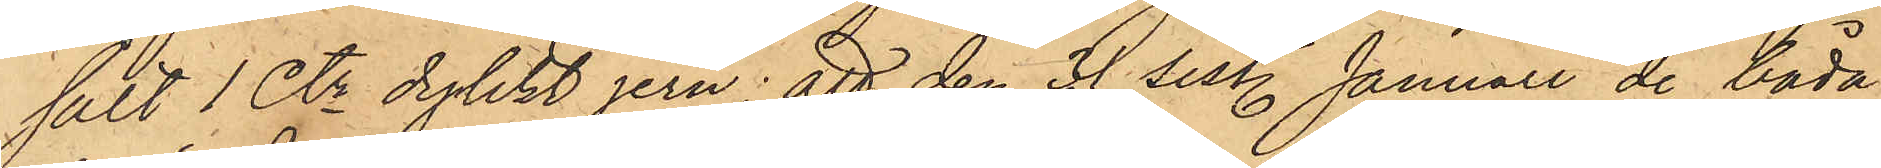sålt 1 Ctr dylikt jern; att den 31 sist. Januari de båda
